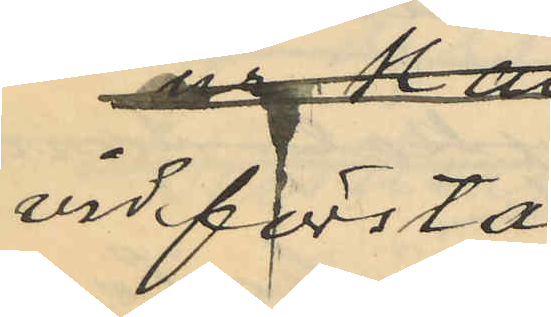vid första
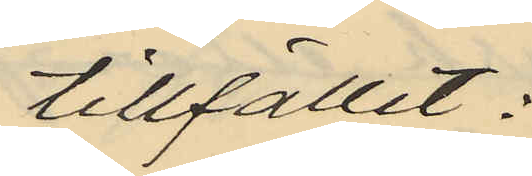tillfället;
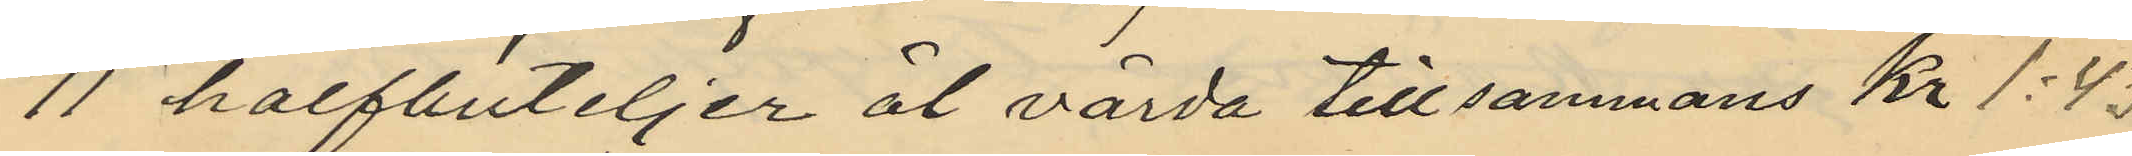11 halfbuteljer öl värda tillsammans Kr 1:43
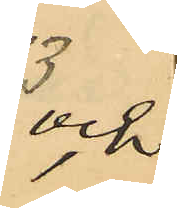och,
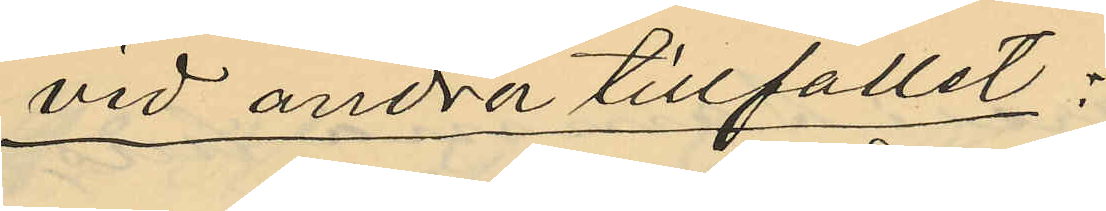vid andra tillfället;
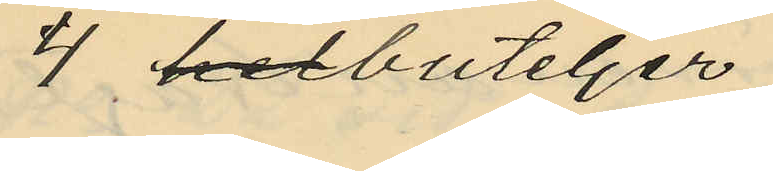4 helbuteljer
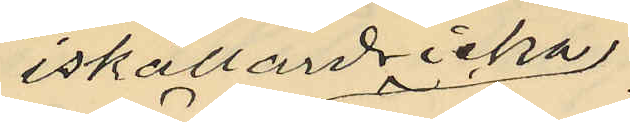iskällardricka
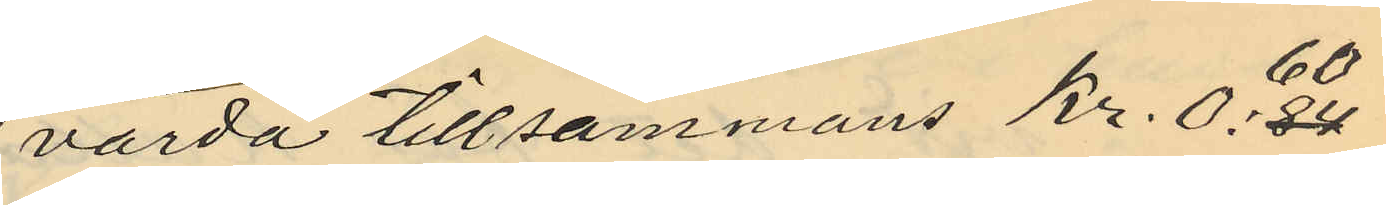värda tillsammans Kr. 0:84 60
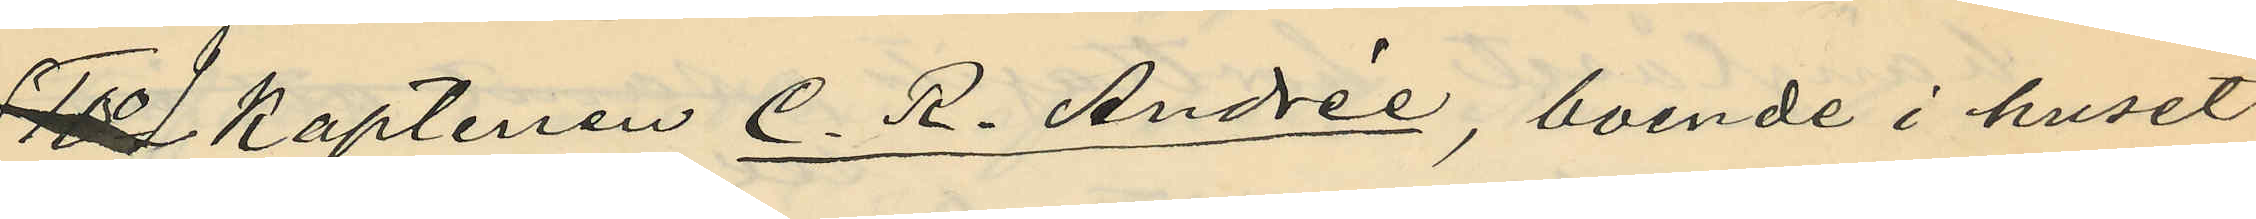10o 9 Kaptenen C. R. Andrée, boende i huset
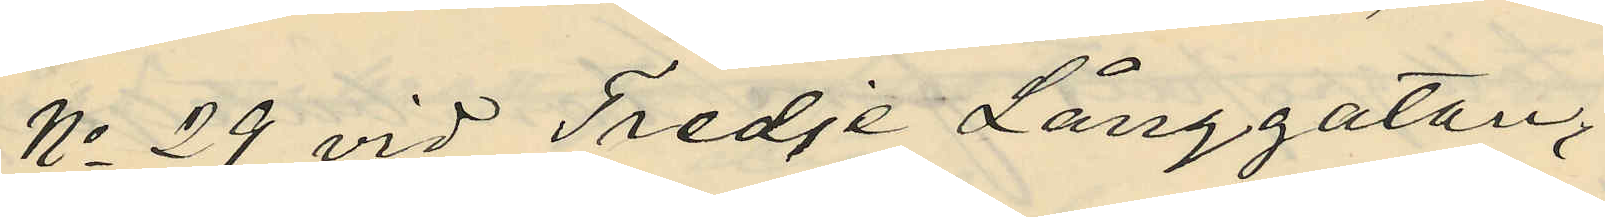No 29 vid Tredje Långgatan,
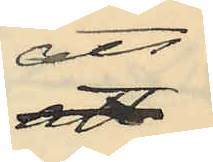att
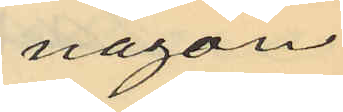någon
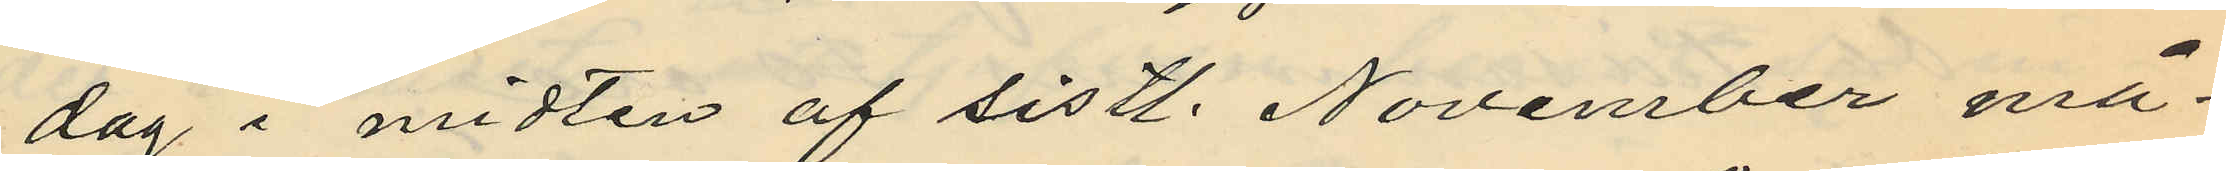dag i midten af sistl. November må¬
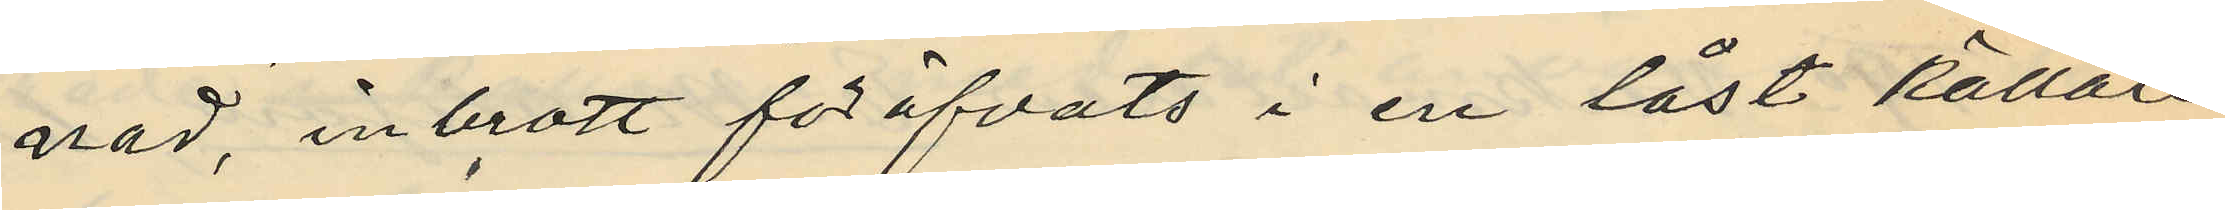nad, inbrott föröfvats i en låst källare
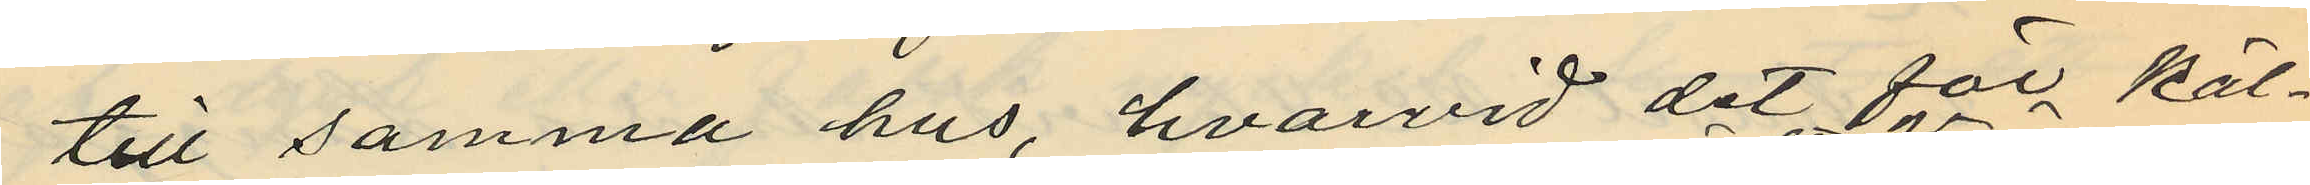till samma hus, hvarvid det för käl¬
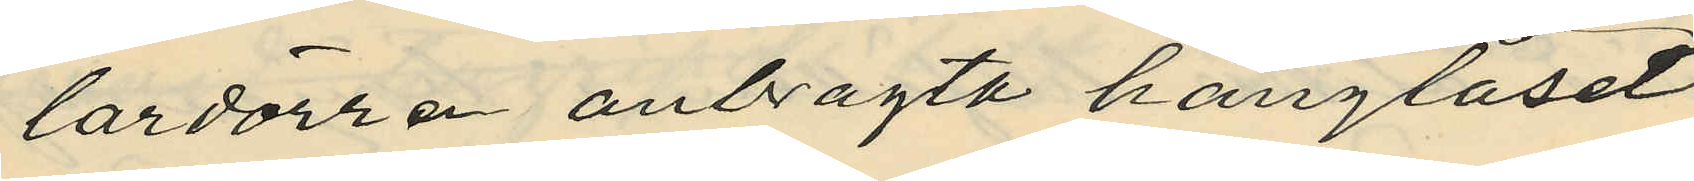lardörren anbragta hänglåset
